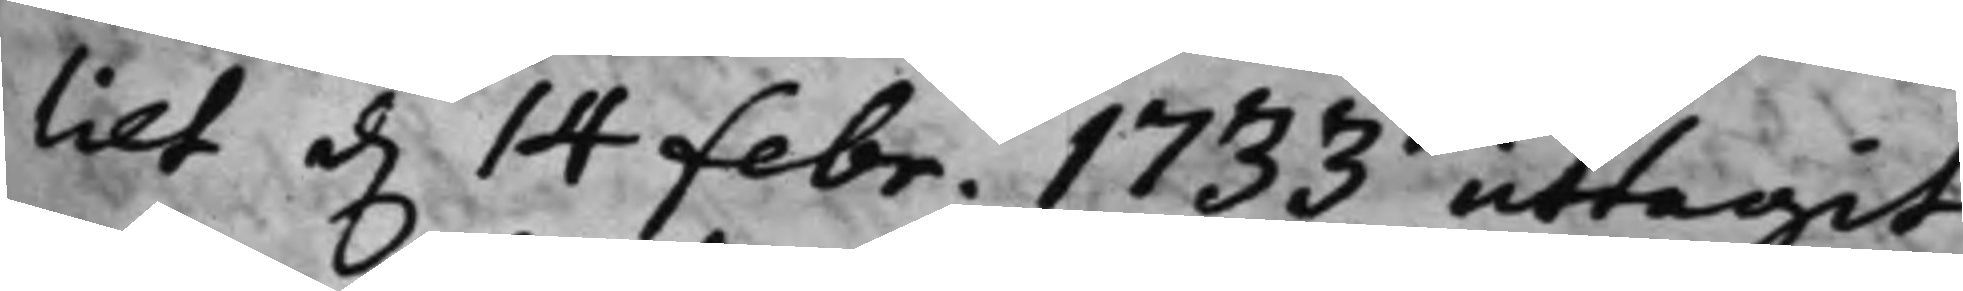liet d. 14 febr. 1733 uttagit
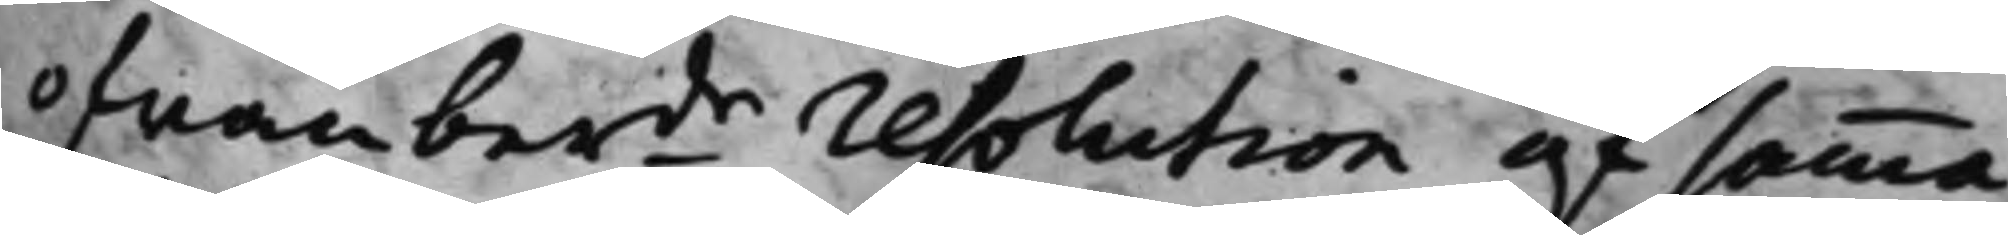ofwanberde resolution af samma
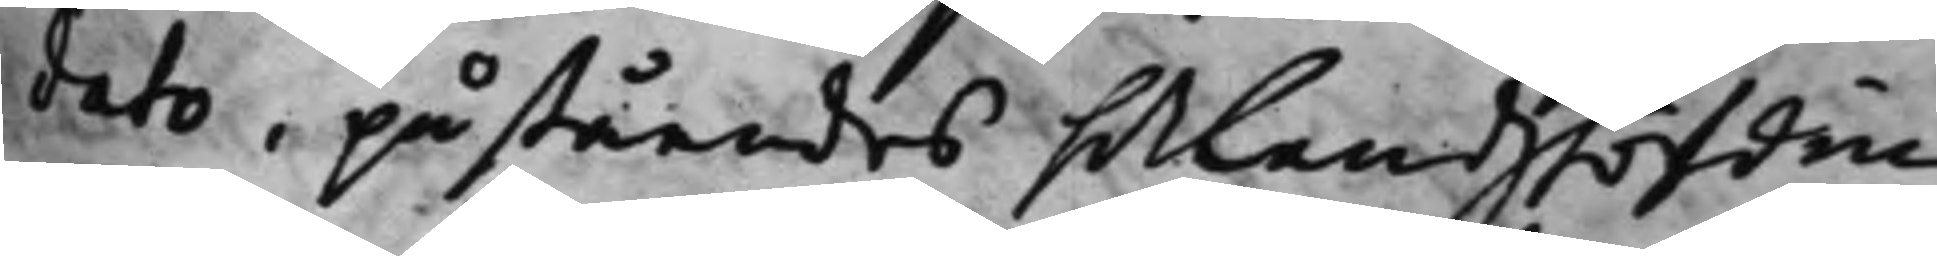dato, påståendes h.r Landshöfdin¬
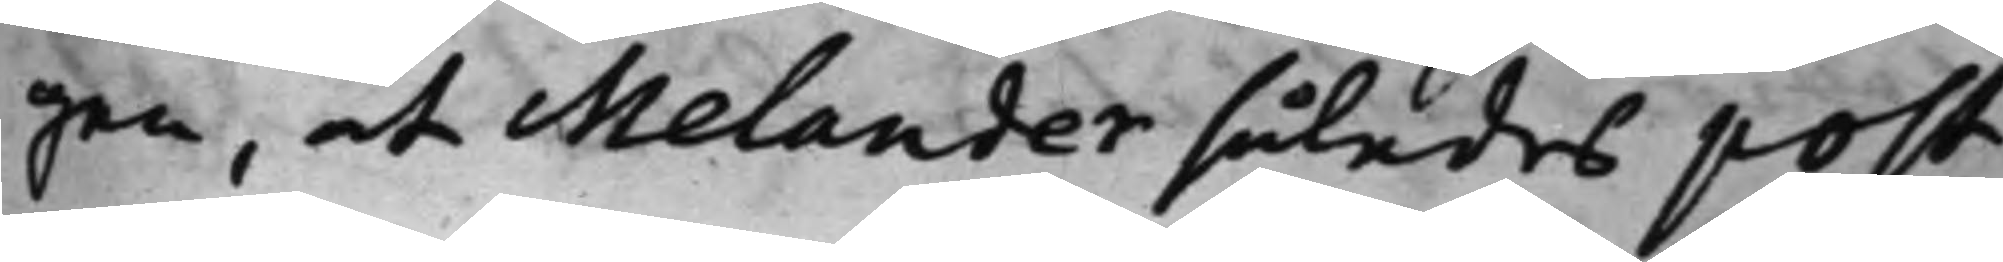gen, at Melander således post
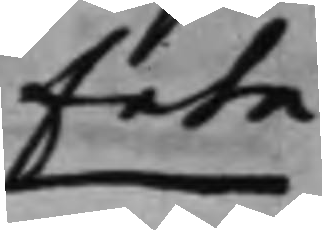fete
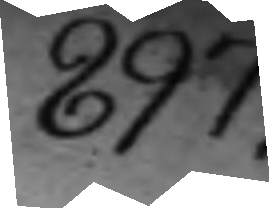897.
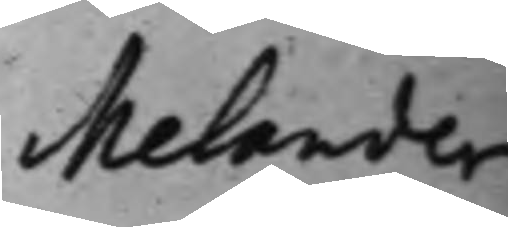Melander
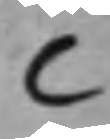C
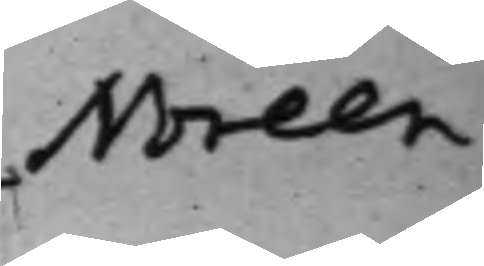Noreen
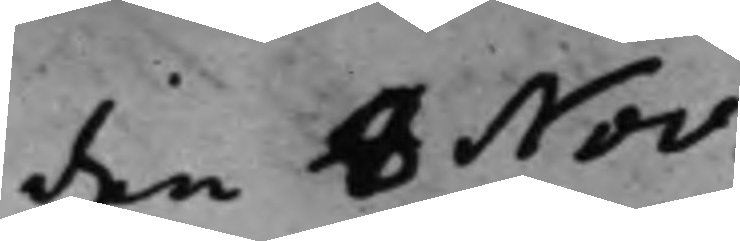den 8 Nov.
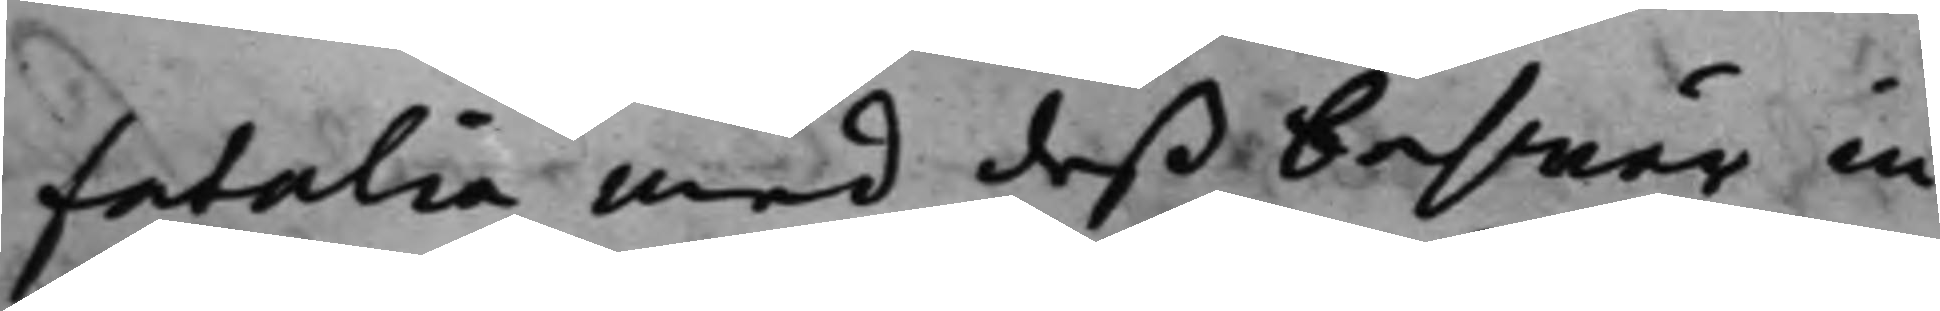fatalia med deß beswär in¬
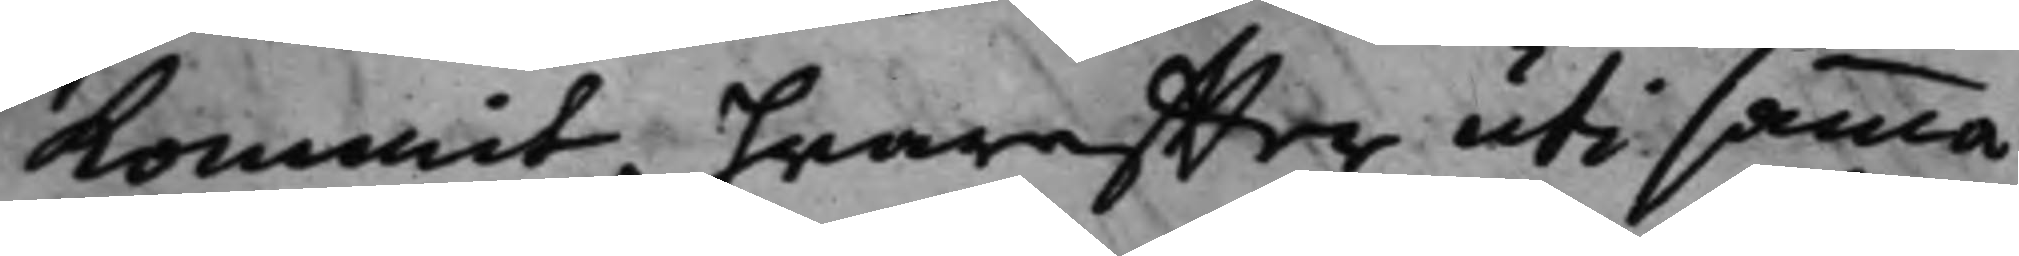kommit, hwareffter uti samma
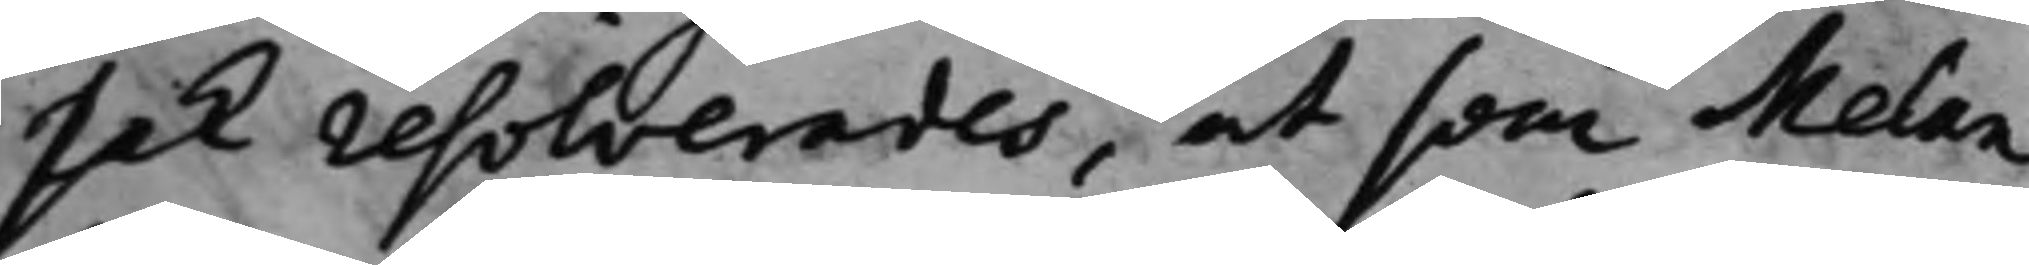sak resolverades, at som Melan¬
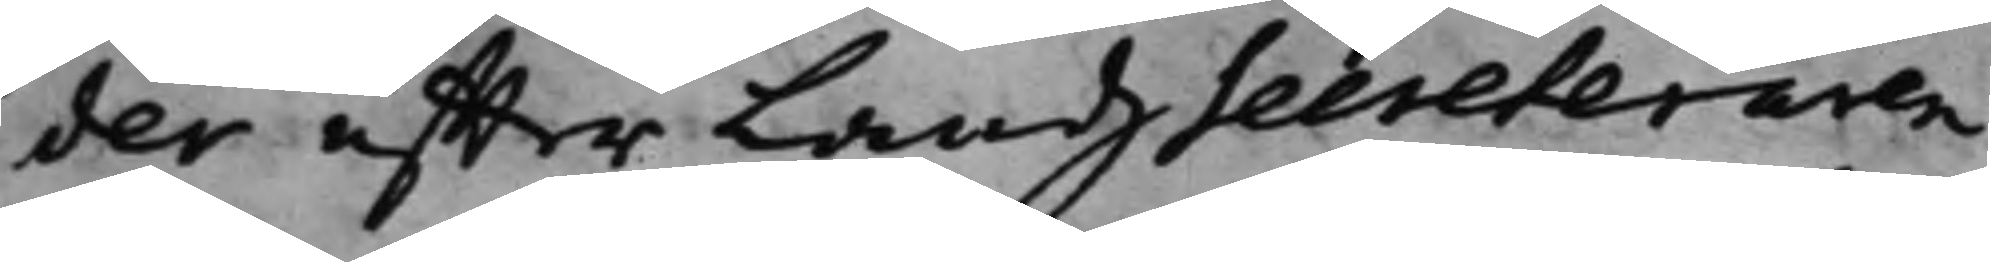der effter LandzSecreteraren
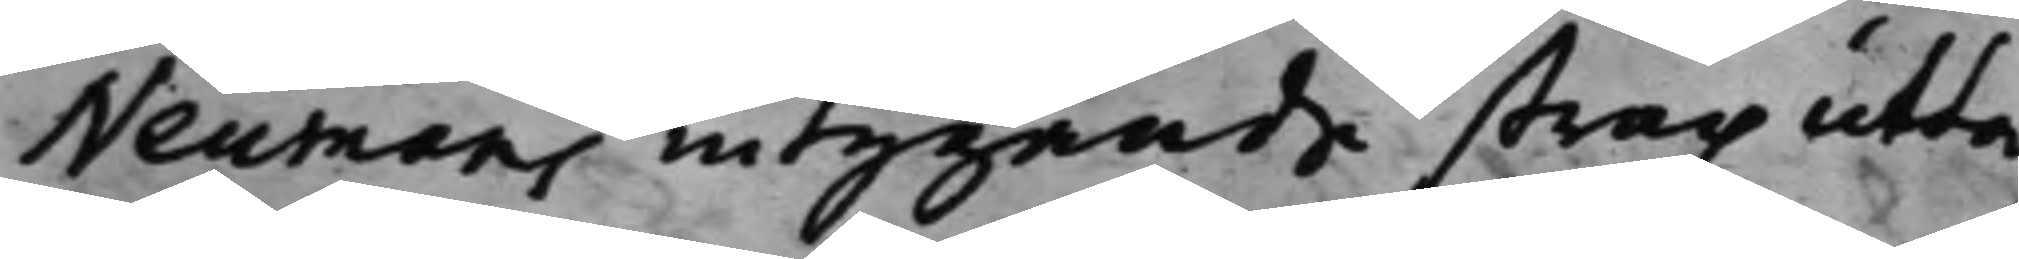Neumans intygande strax utta¬
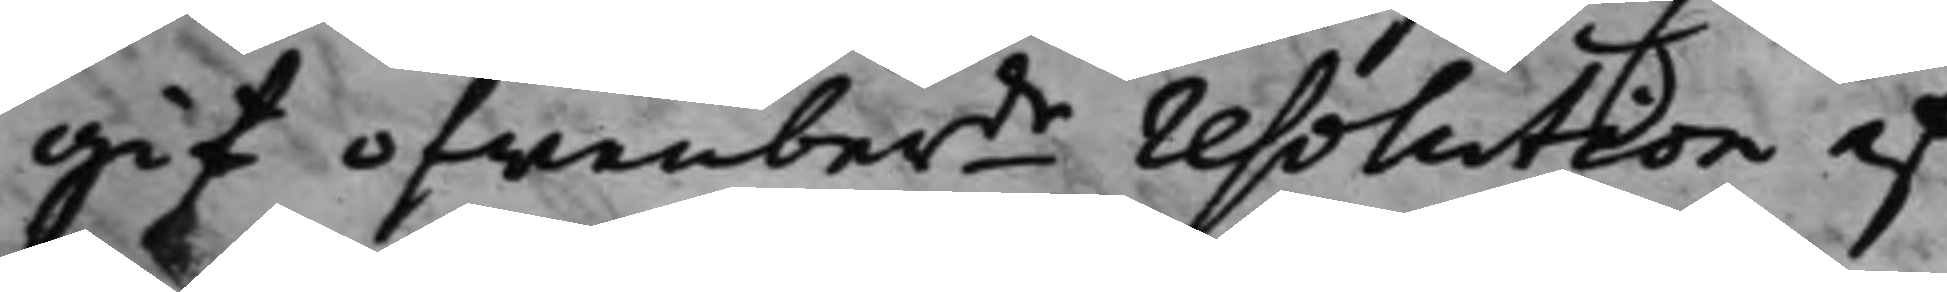git ofwanberde resolution af
